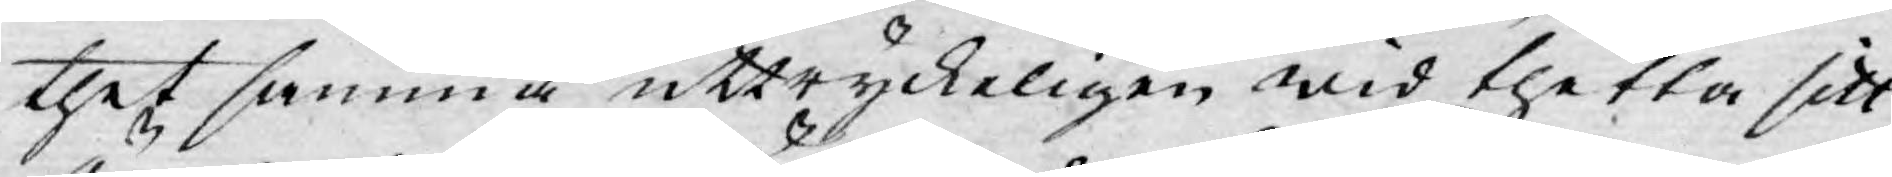thet samma uttryckeligen wid thetta sitt
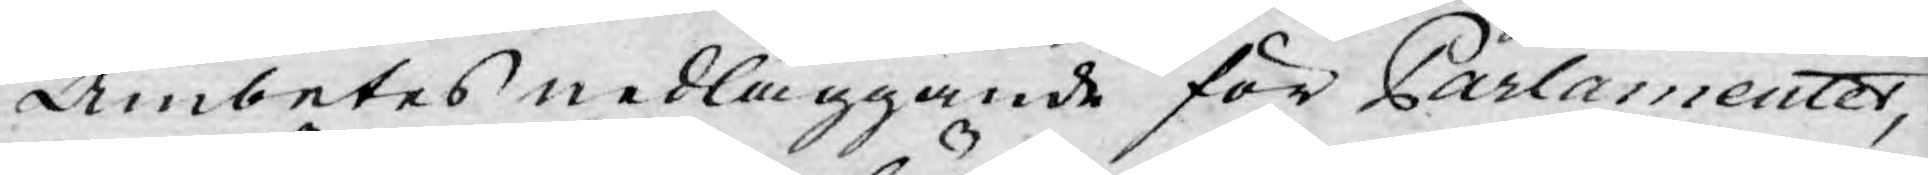Ämbetes nedläggande för Parlamentet,
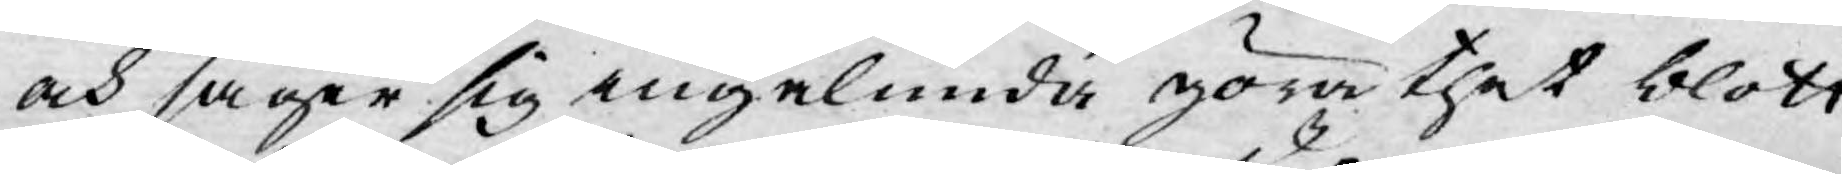och säger sig ingalunda göra thet blott
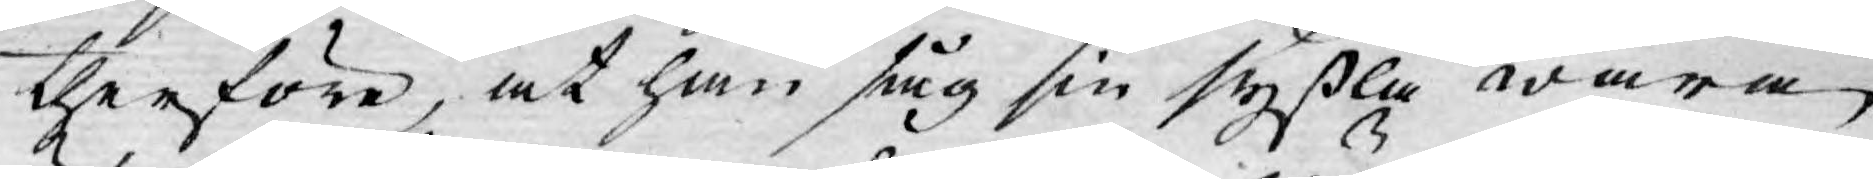therföre, at han såg sin syssla wara
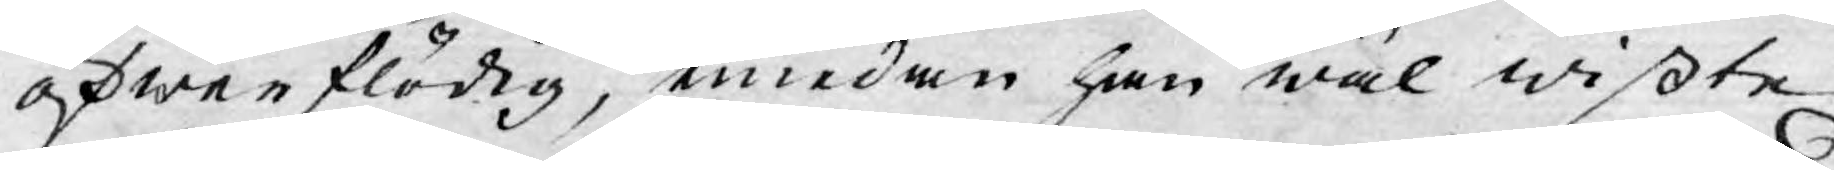öfwerflödig, emedan han wäl wißte
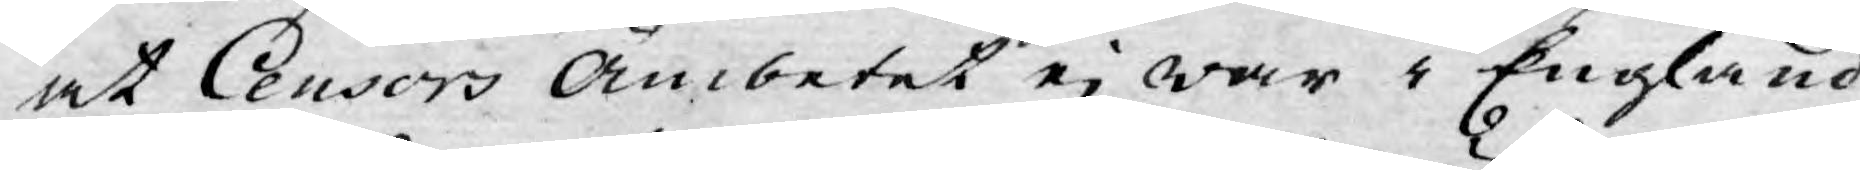at Censors Ämbetet ej war i England
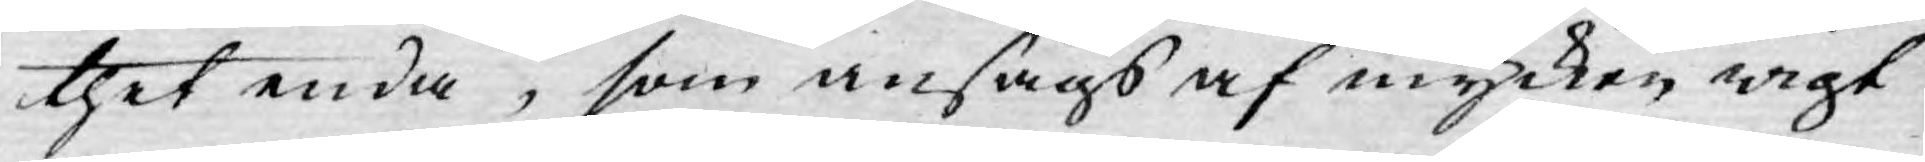thet enda, som ansågs af mycken wigt
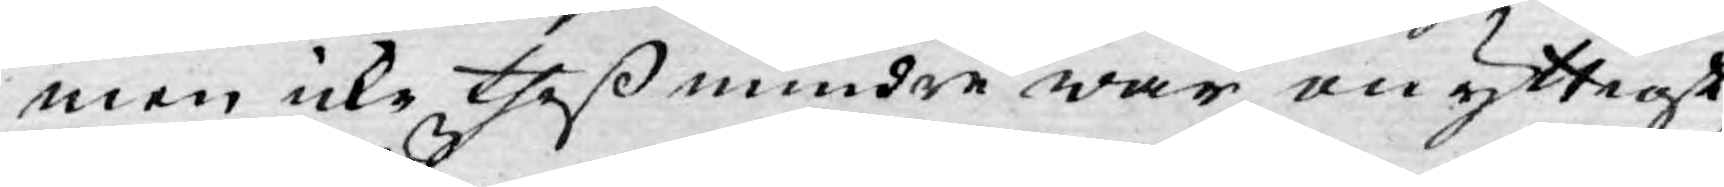men icke theß mindre war onyttigt;
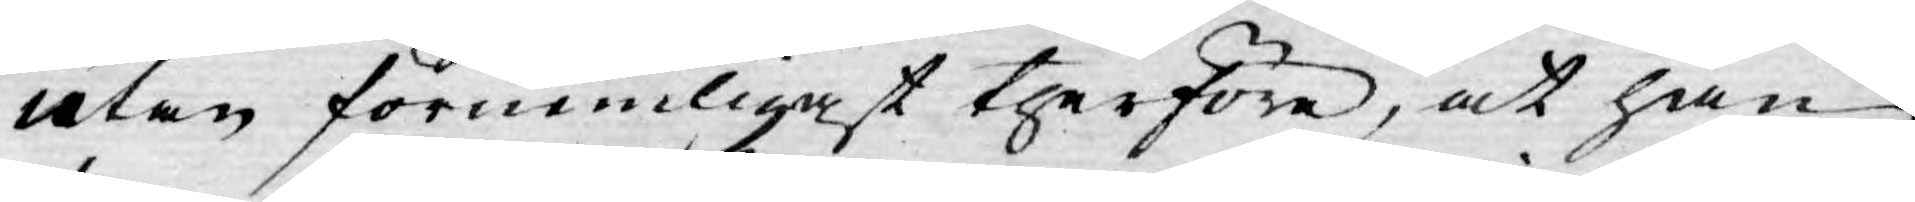utan förnemligast therföre, at han
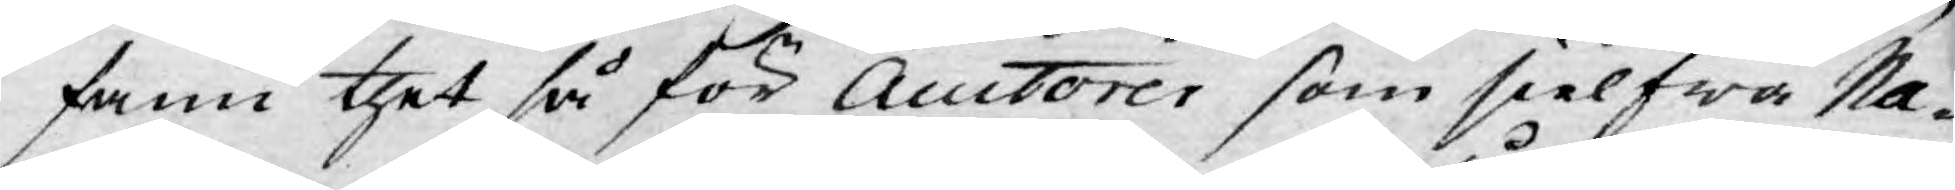fann thet så för Auctorer som sielfwa Na¬
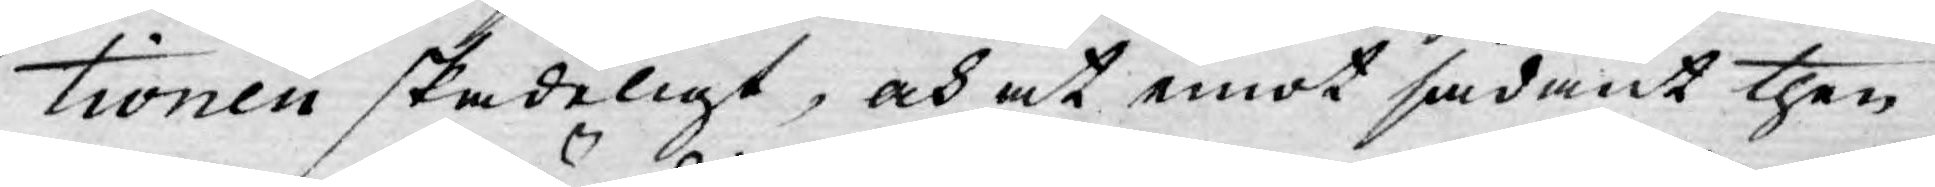tionen skadeligt, och at emot sådant then
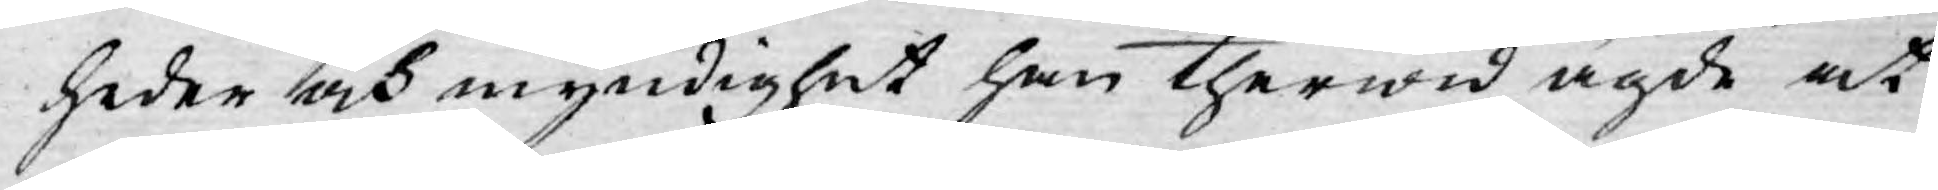heder och myndighet han therwid ägde at
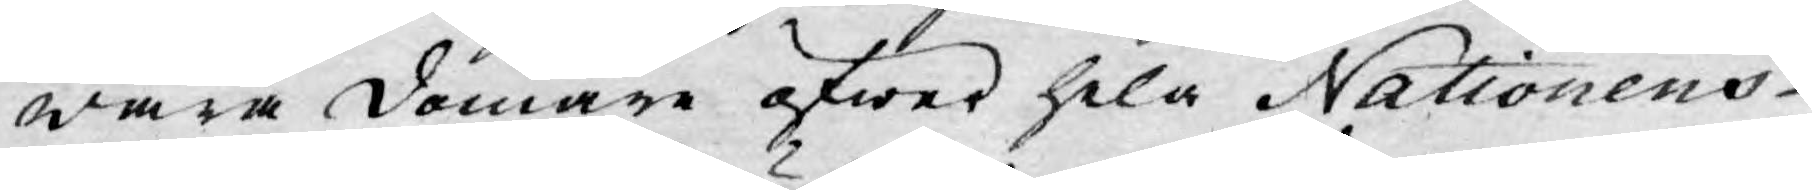wara domare öfwer hela Nationens
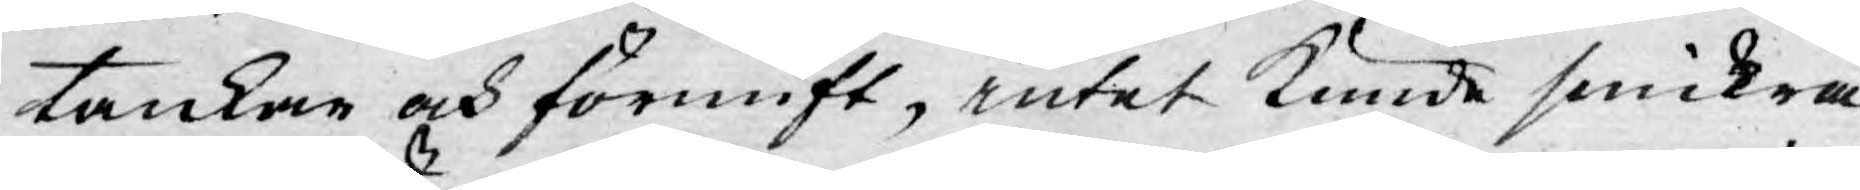tankar och förnuft, intet kunde smickra
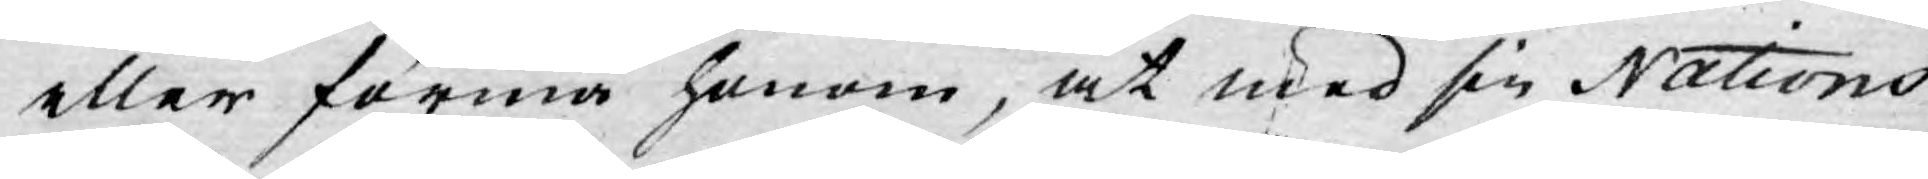eller förmå honom, at med sin Nations
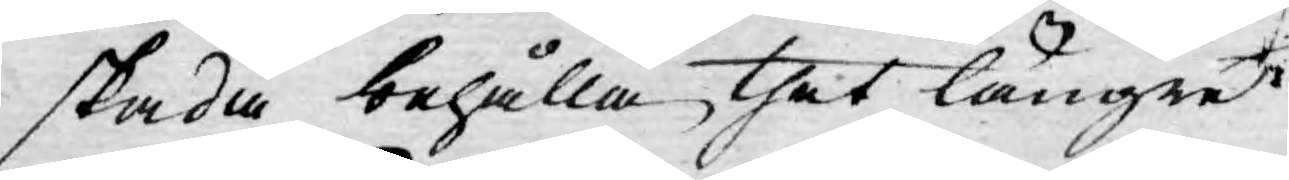skada behålla thet längre.
